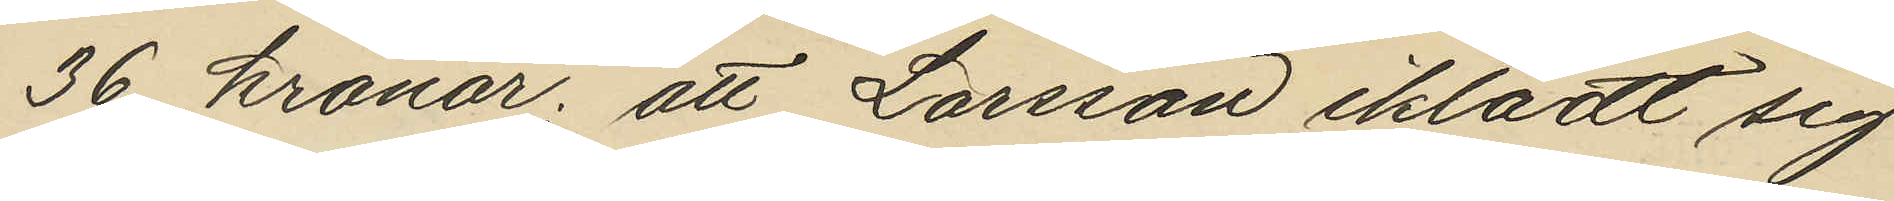36 kronor; att Larsson iklädt sig
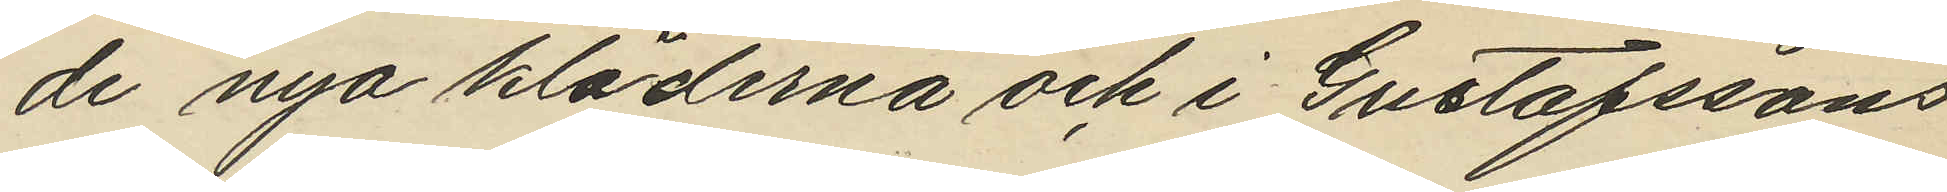de nya kläderna och i Gustafssons
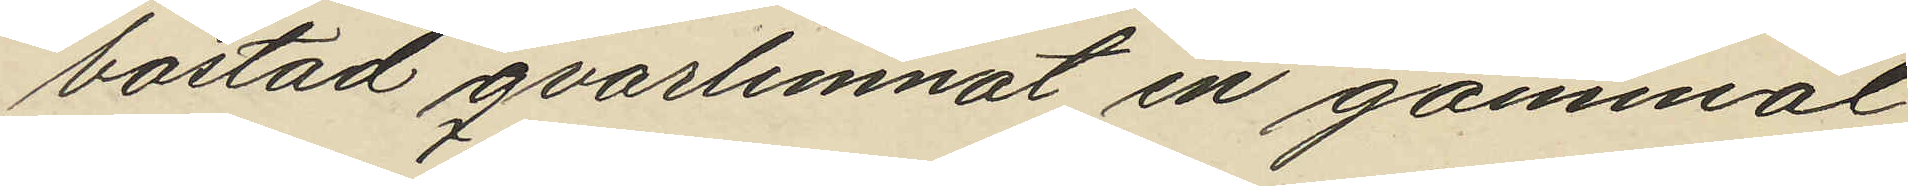bostad qvarlemnat en gammal
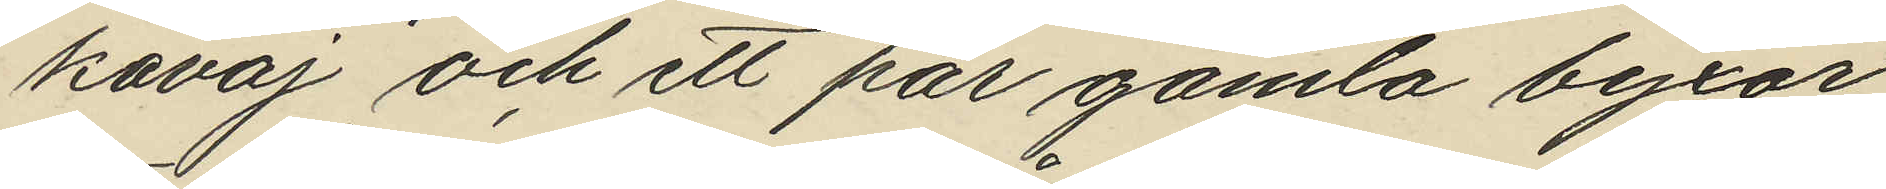kavaj och ett par gamla byxor;
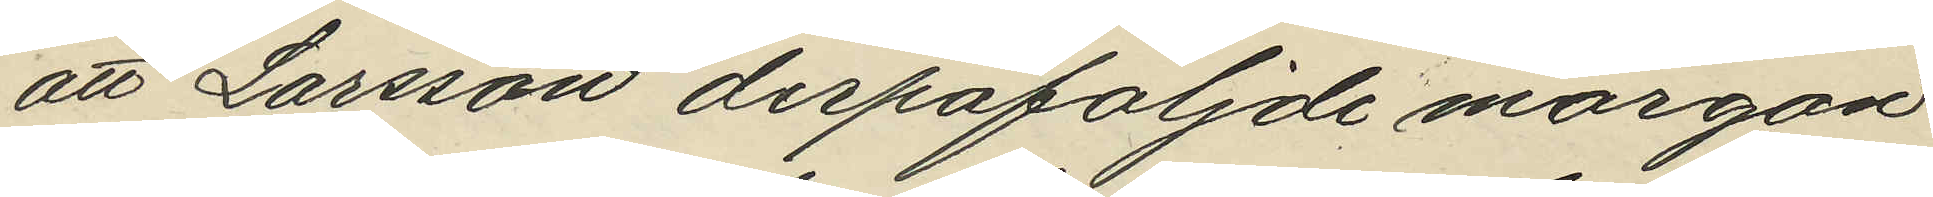att Larsson derpåföljde morgon
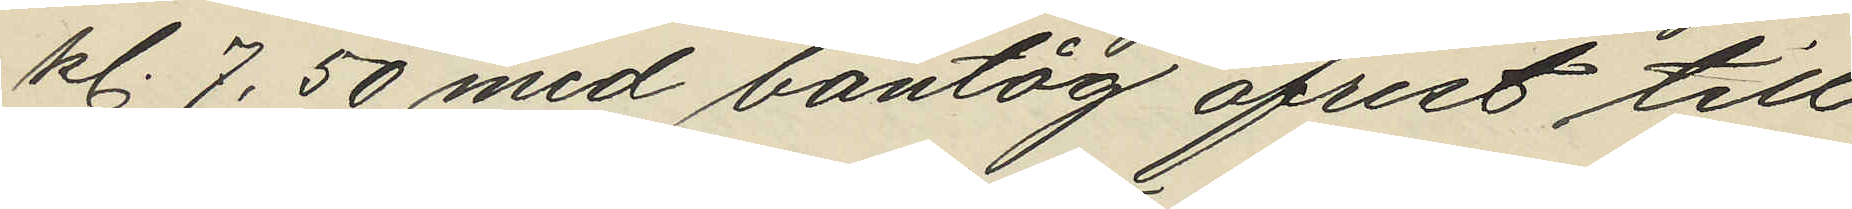kl. 7,50 med bantåg afrest till
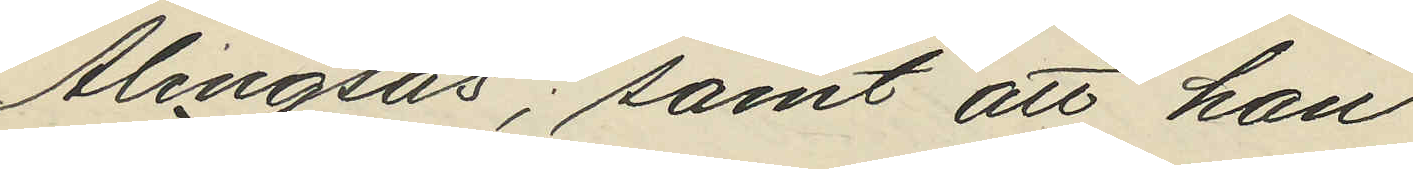Alingsås; samt att han
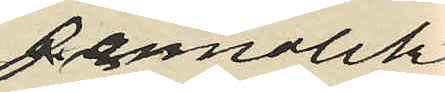sannolikt
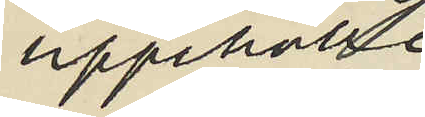uppehölle
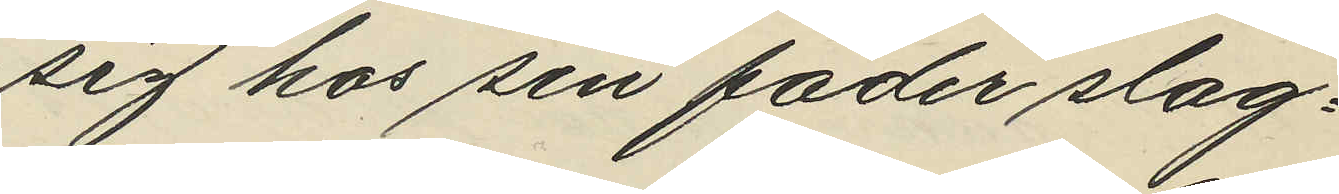sig hos sin fader slag¬
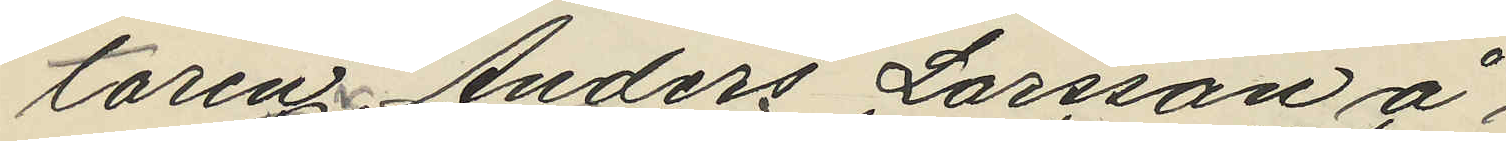taren Anders Larsson å
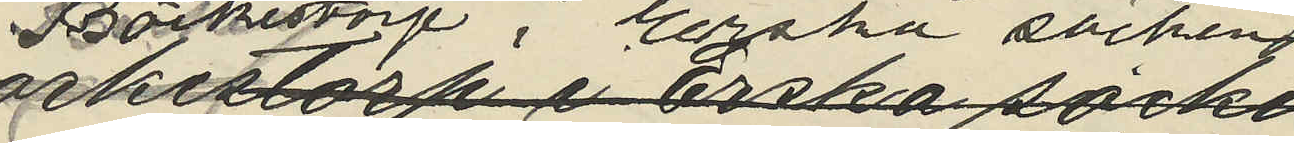Bäckestorp i Erska socken
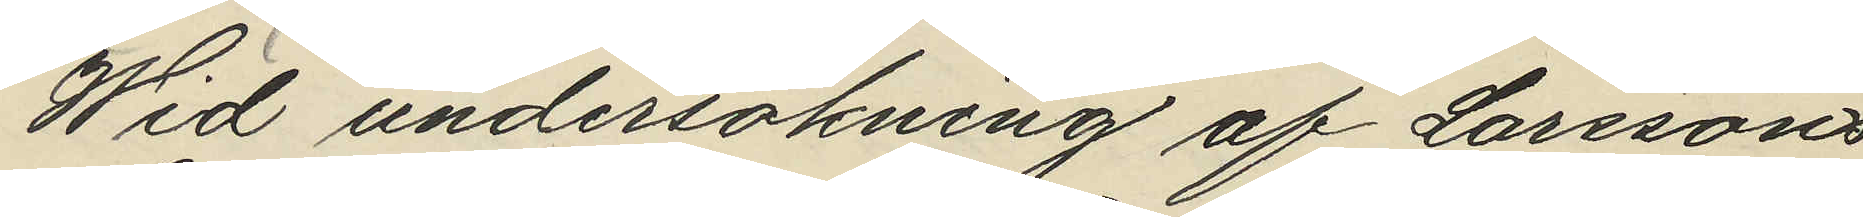Wid undersökning af Larssons
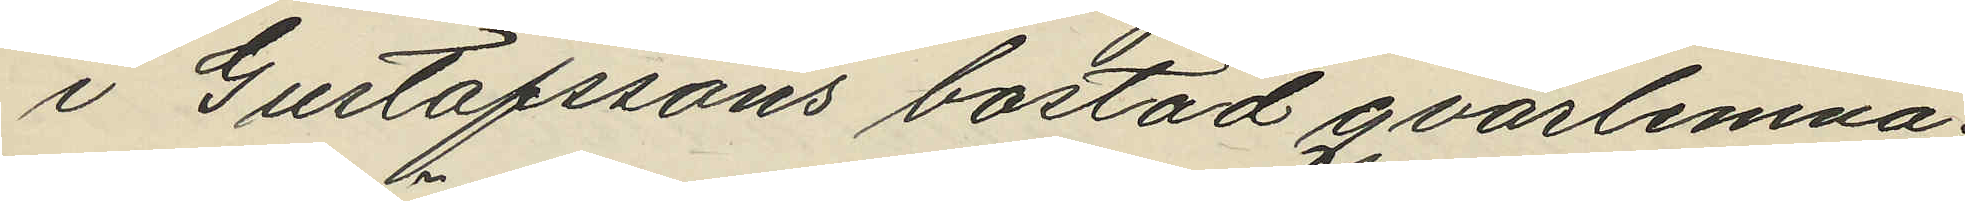i Gustafssons bostad qvarlemna¬
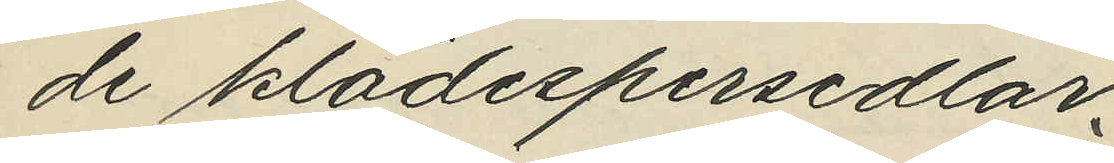de klädespersedlar
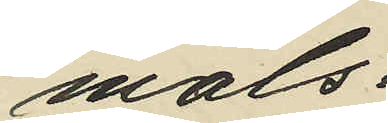måls¬
